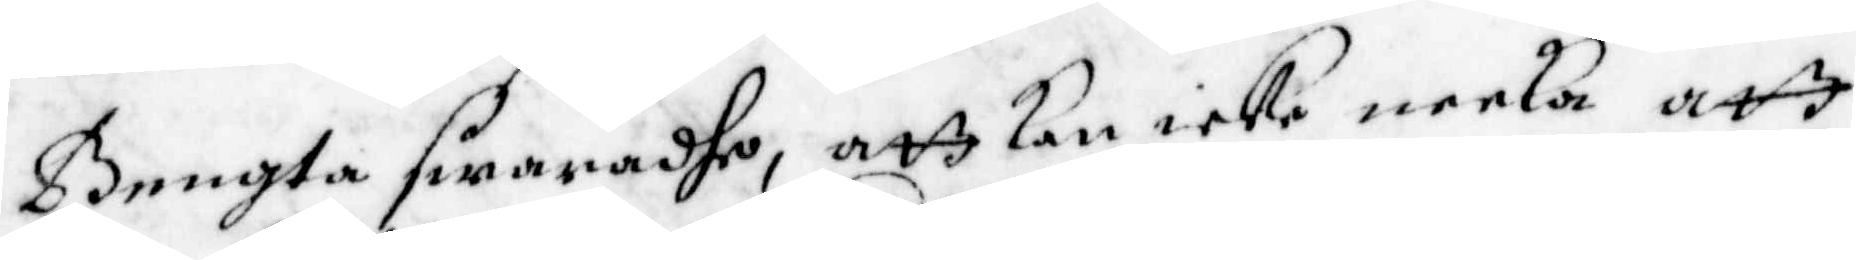Bengta swaradhe, att kan icke neeka att
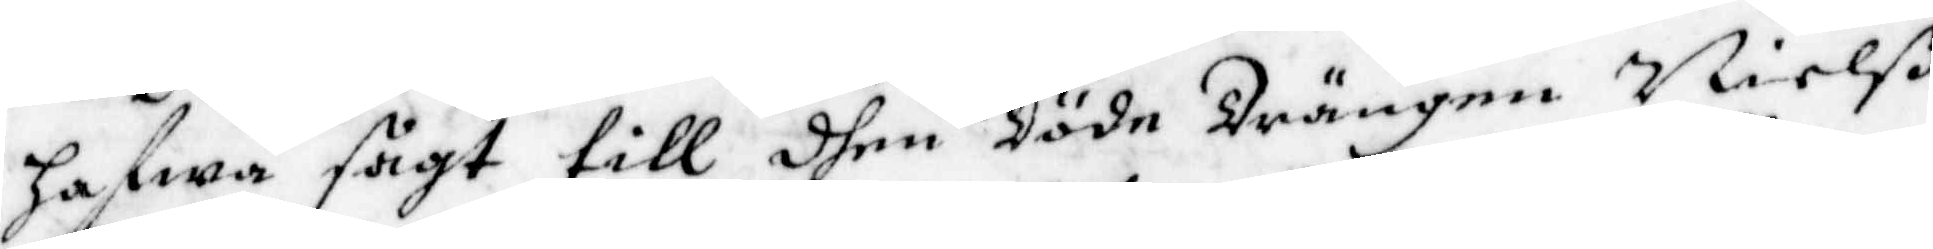hafwa sagt till dhen Döde Drängen Nielß
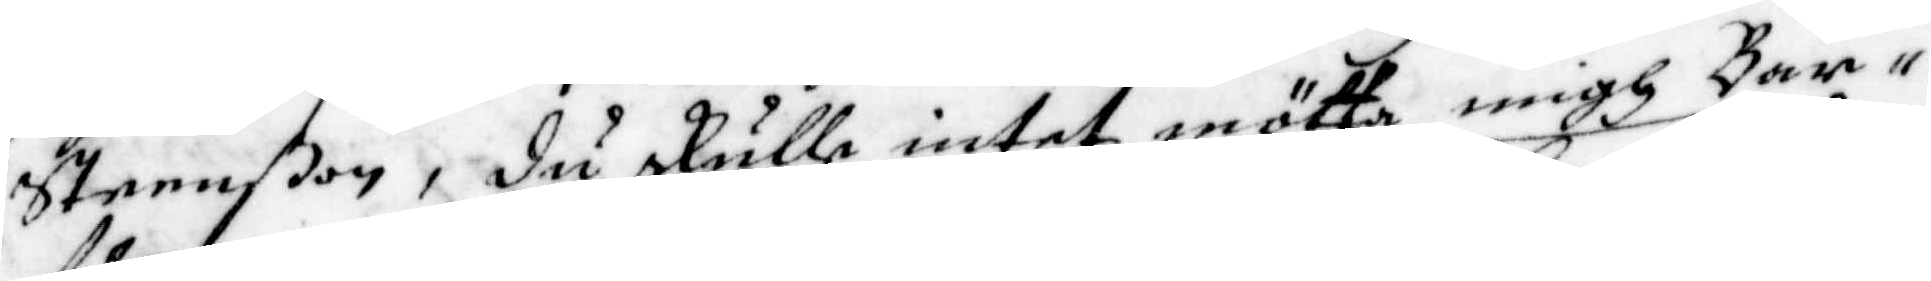Steenßon, du skulle intet mötta migh Bar¬
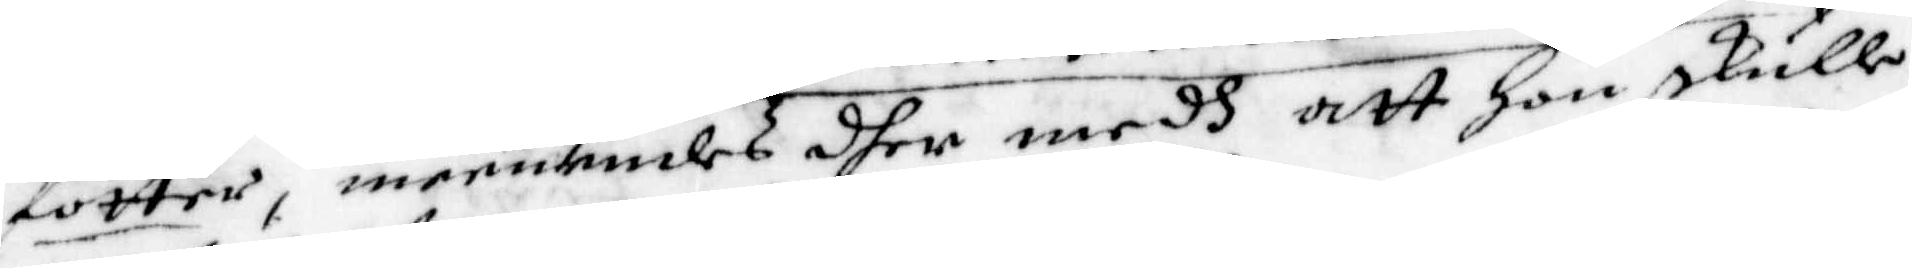fötter, meenandes dher medh att Hon skulle
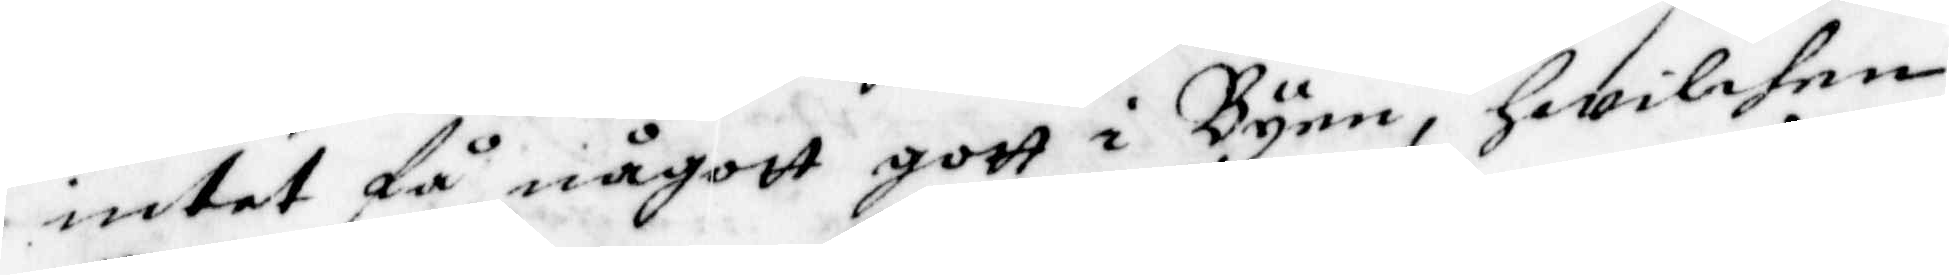intet få någott gott i Byen, hwilken
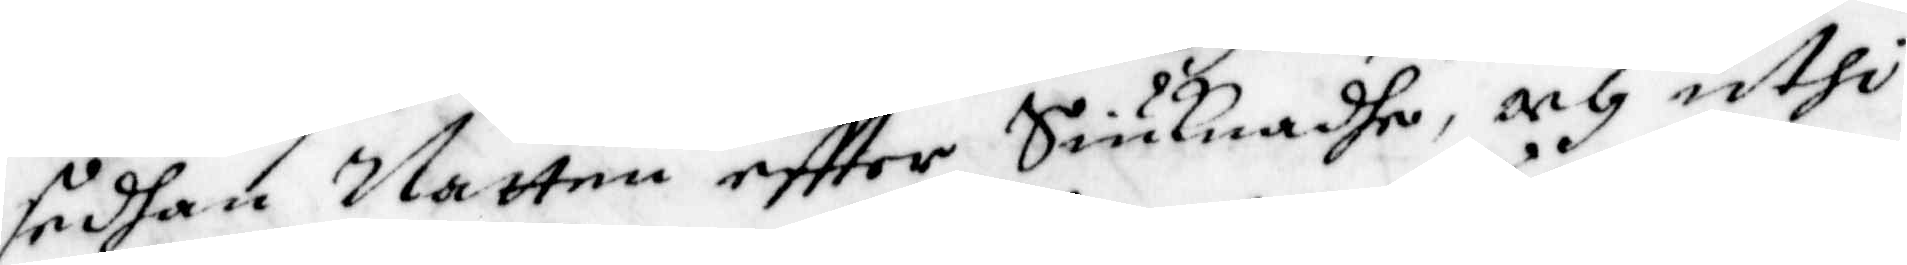sedhan Natten eftter Siuknadhe, och uthi
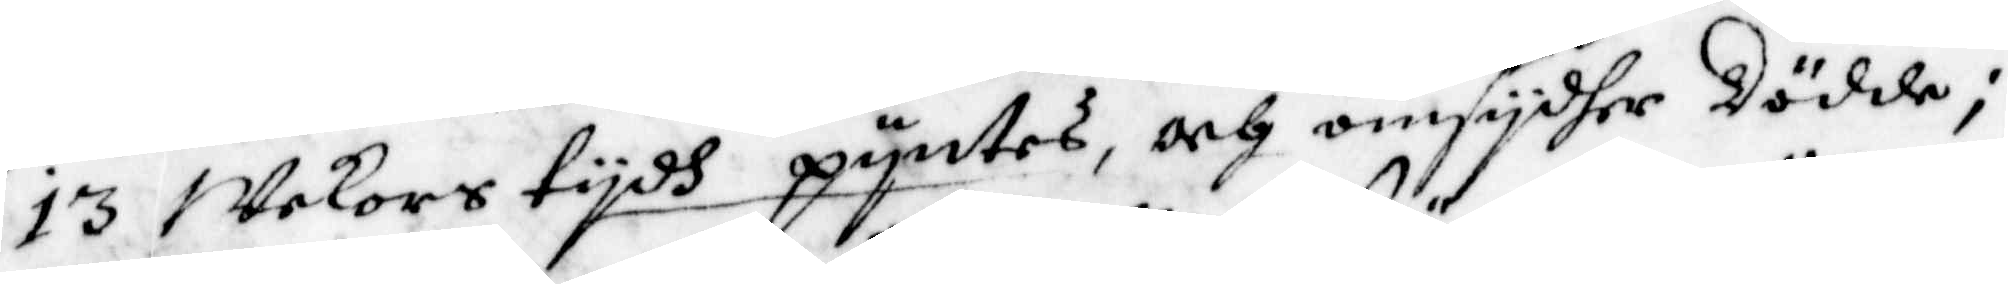13 wekors tydh pyntes, och omsydher Dödde,
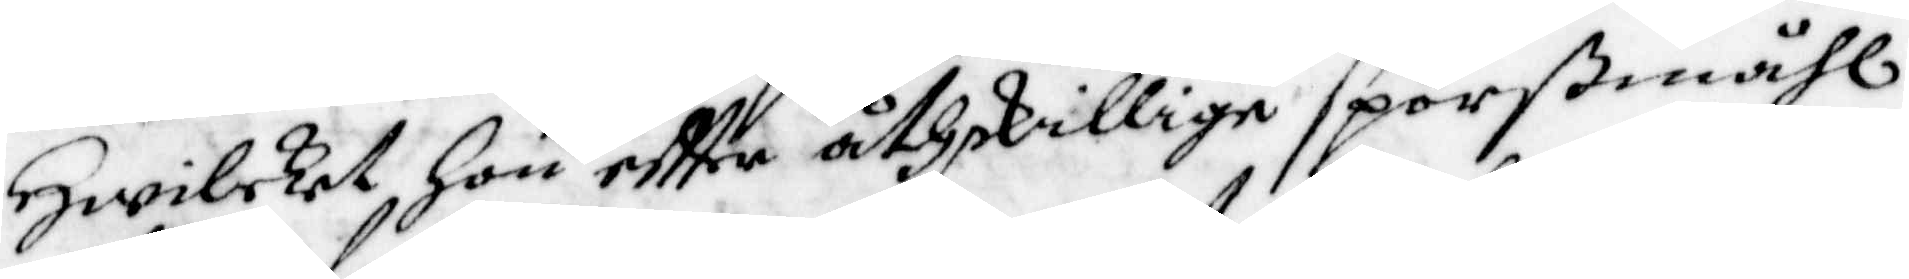Hwilket Hon eftter åthskillige spörßmåhl
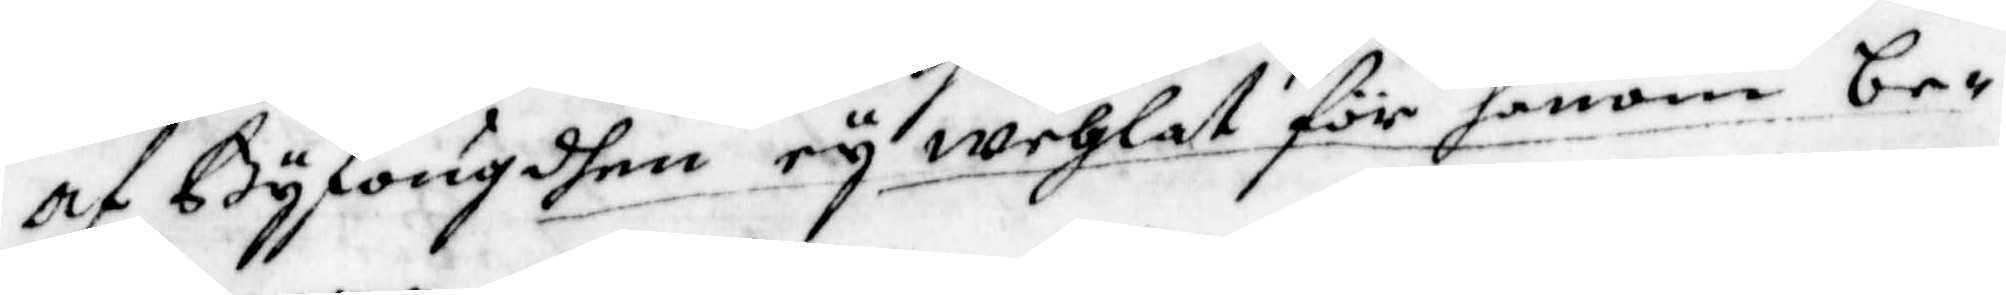af Byfougdhen ey wehlat för honom be¬
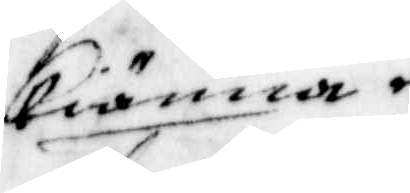kiänna.
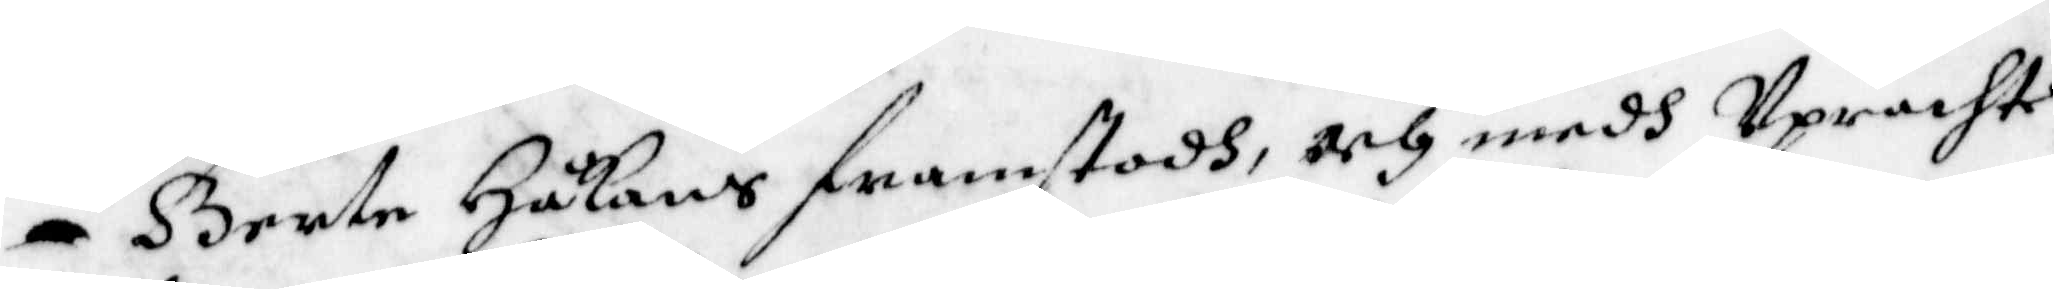Gerte Håkans framstodh, och medh Uprachte
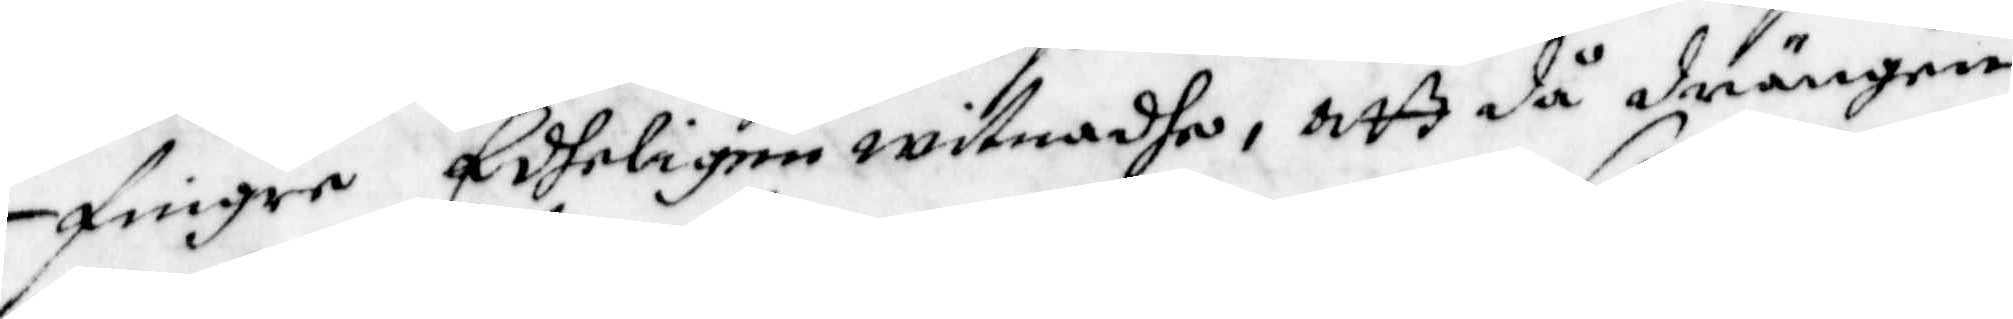fingre Edheligen witnadhe, att då drängen
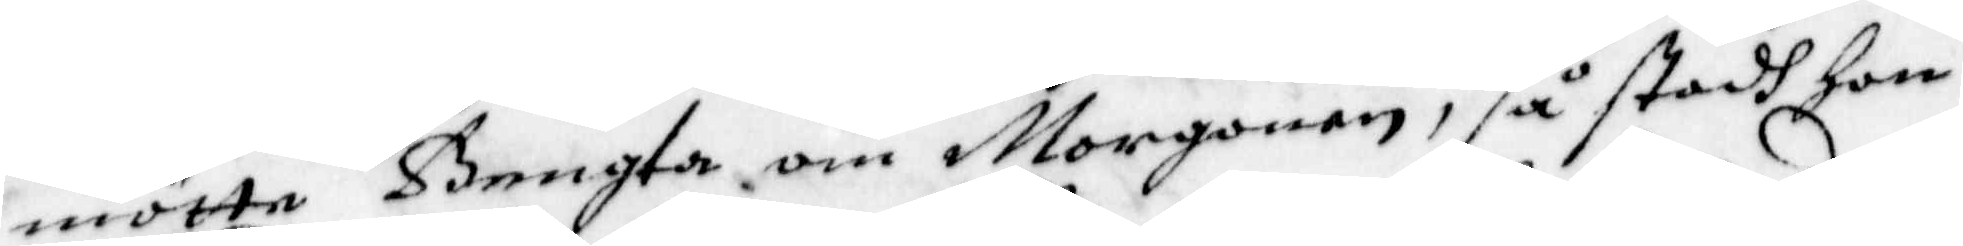mötte Bengta om Morgonen, så stodh hon
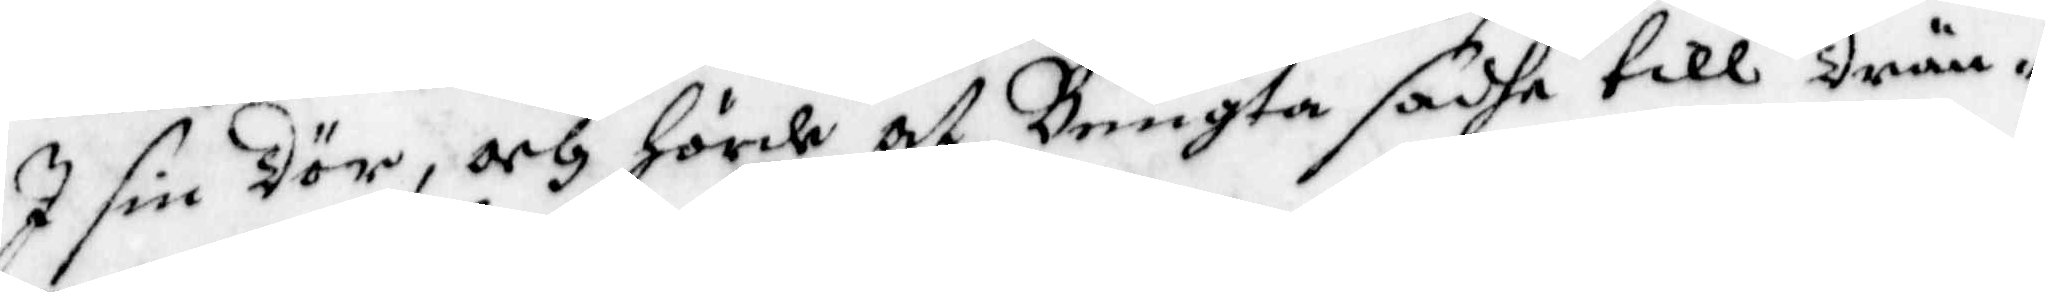I sin Dör, och hörde at Bengta sadhe till Drän¬
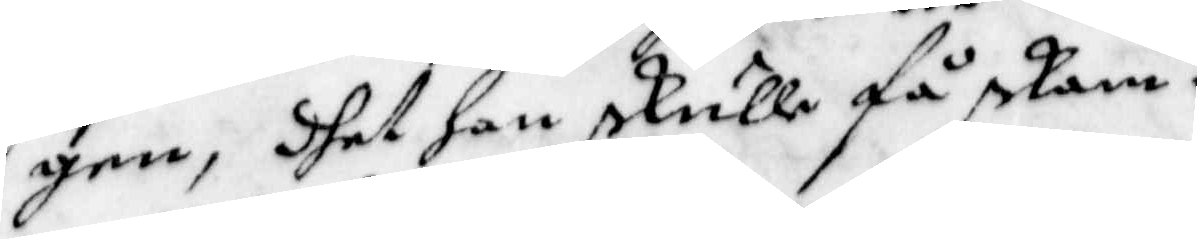gen, dhet han skulle få skam.
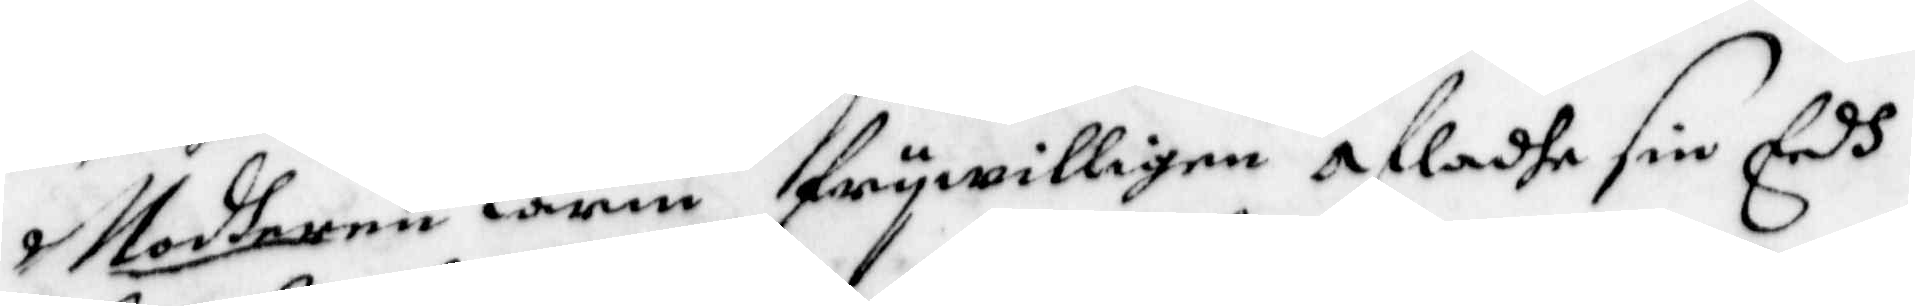Moderen Karin frywilligen afladhe sin Eedh
